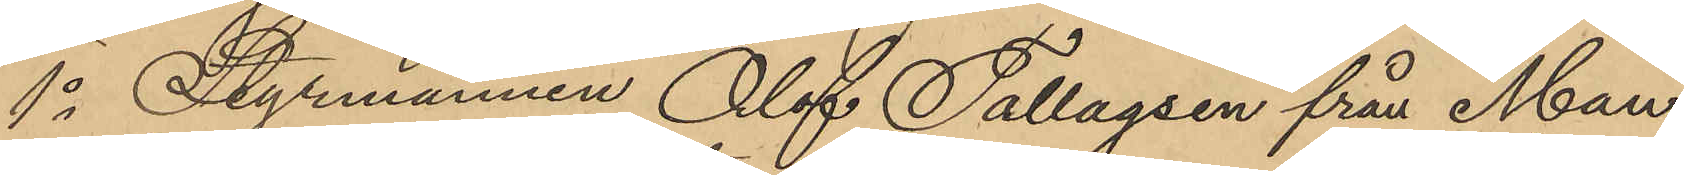1o Styrmannen Olof Tallagsen från Man¬
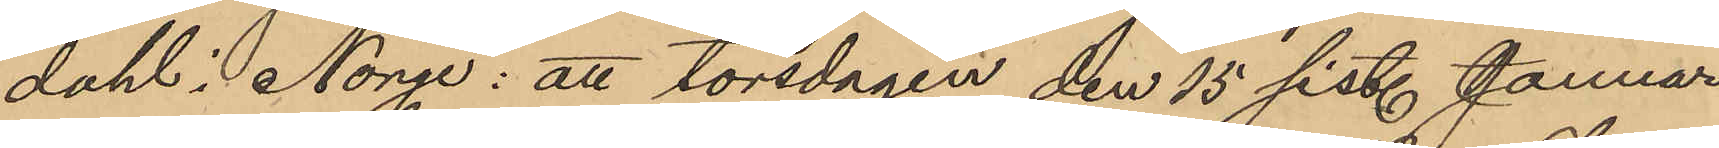dahl i Norge: att torsdagen den 15 sist. Januari
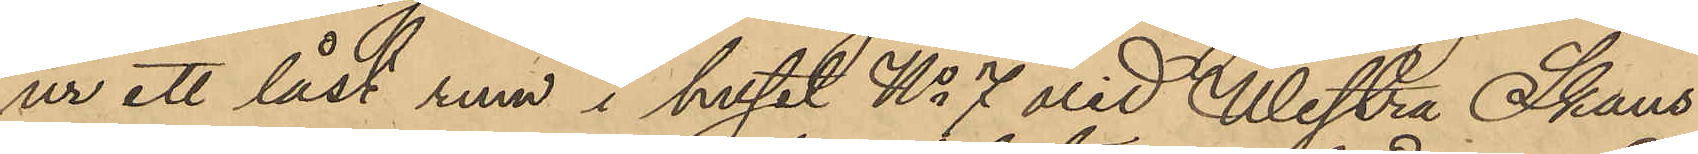ur ett låst rum i huset No 7 vid Westra Skans¬
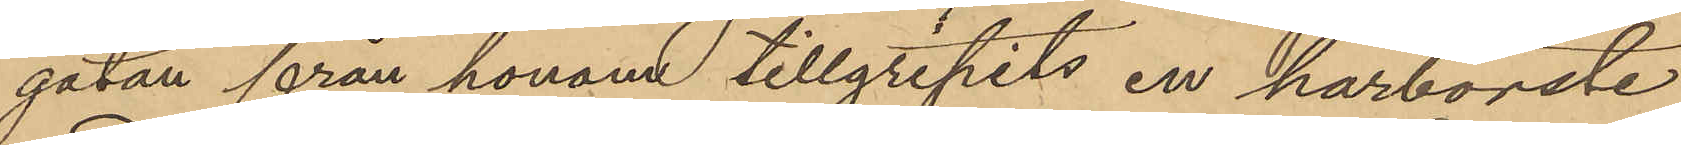gatan från honom tillgripits en hårborste
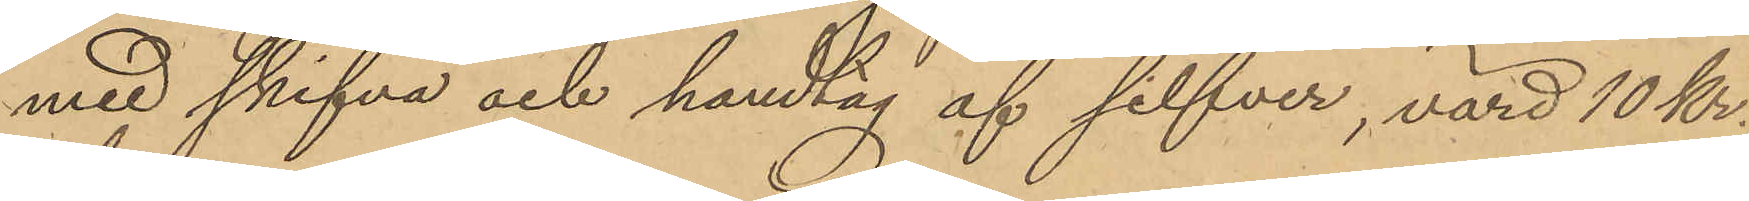med skifva och handtag af silfver, värd 10 kr.
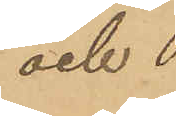och
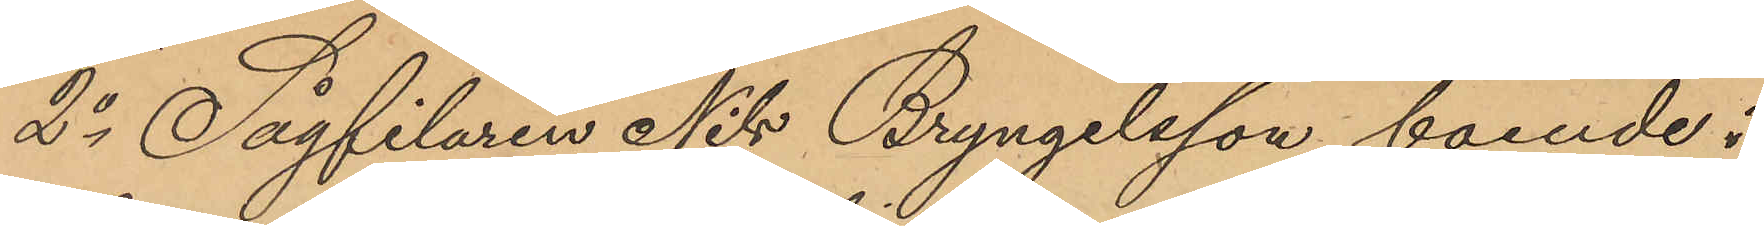2o Sågfilaren Nils Bryngelsson, boende i
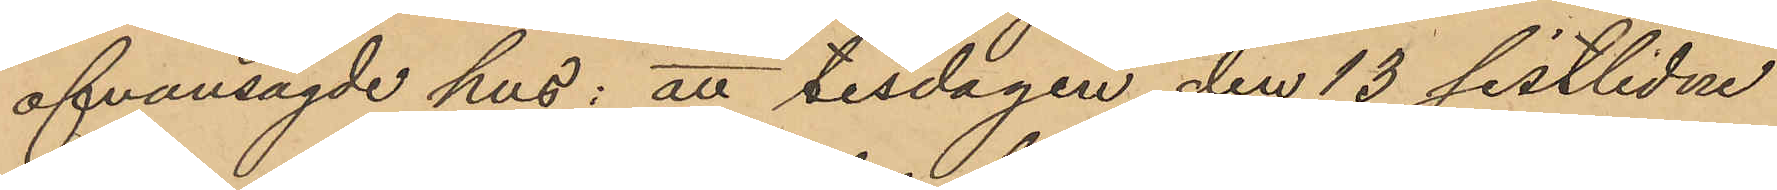ofvansagde hus: att tisdagen den 13 sistlidne
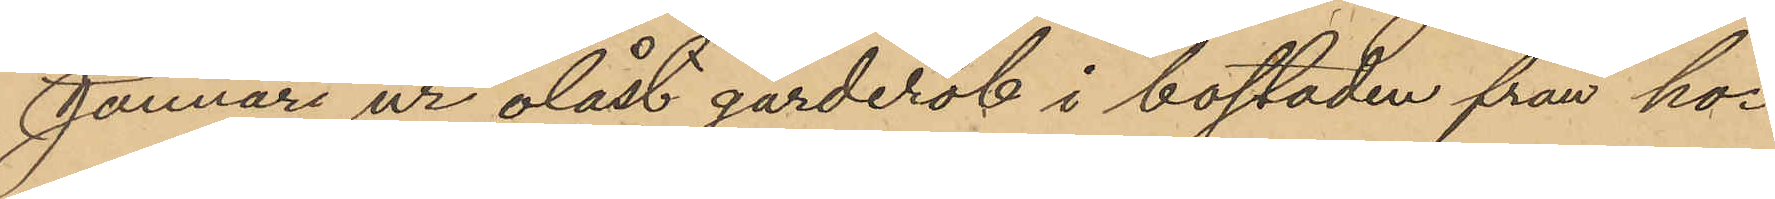Januari ur olåst garderob i bostaden från ho¬
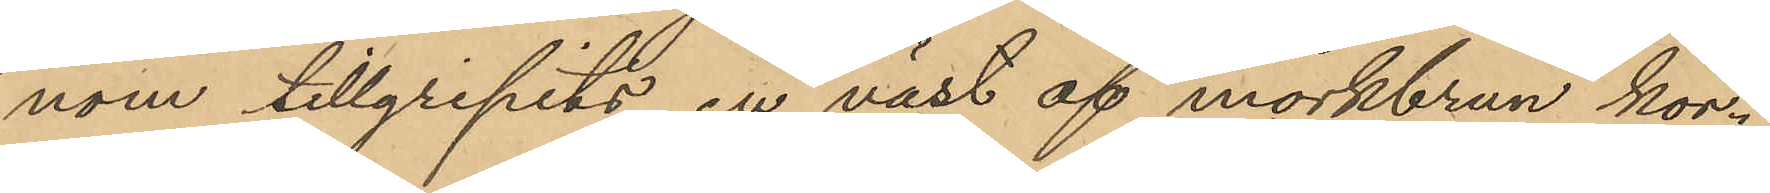nom tillgripits en väst af mörkbrun kor¬
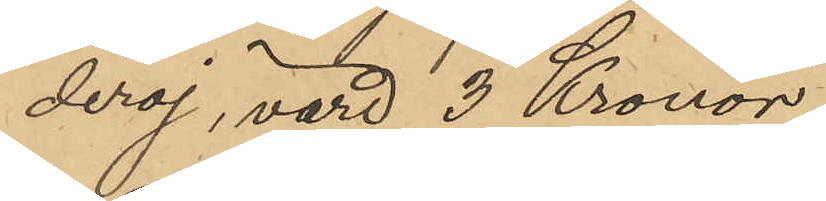deroj, värd 3 Kronor.
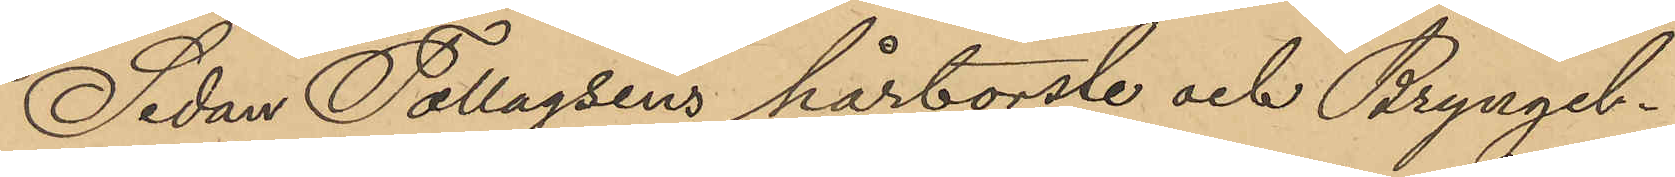Sedan Tollagsens hårborste och Bryngel¬
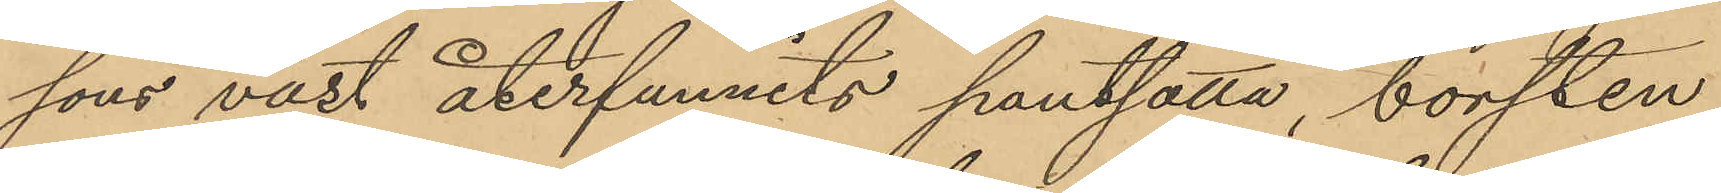sons väst återfunnits pantsatta, borsten
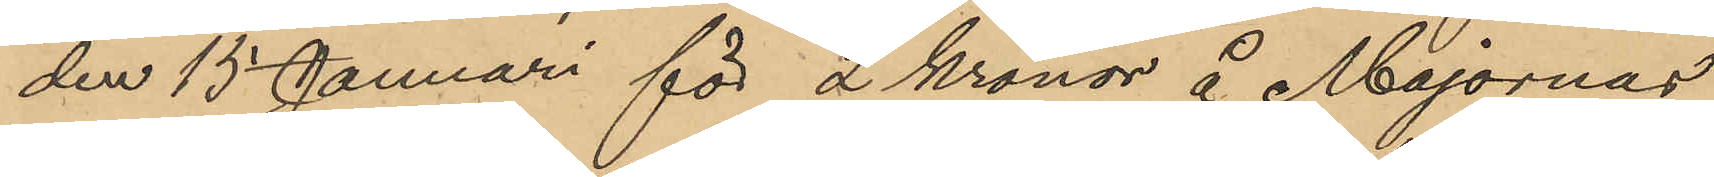den 15 Januari för 2 Kronor å Majornas
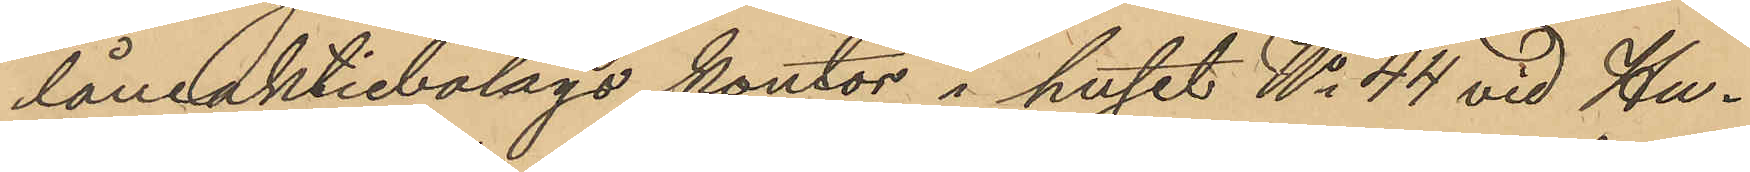låneaktiebolags kontor i huset No 44 vid Hu¬
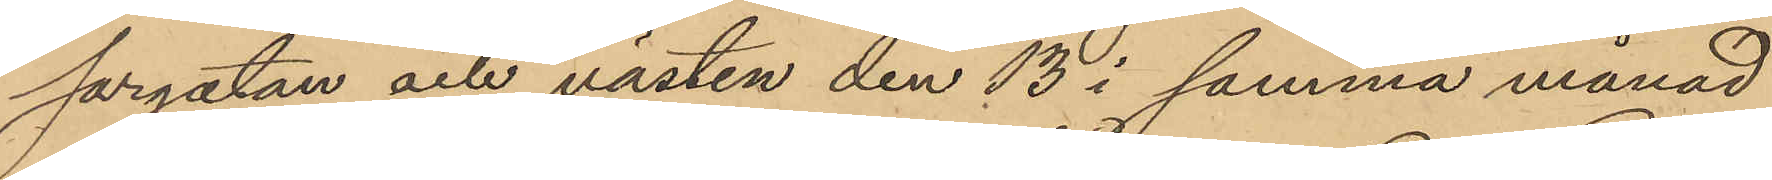sargatan och västen den 13 i samma månad
